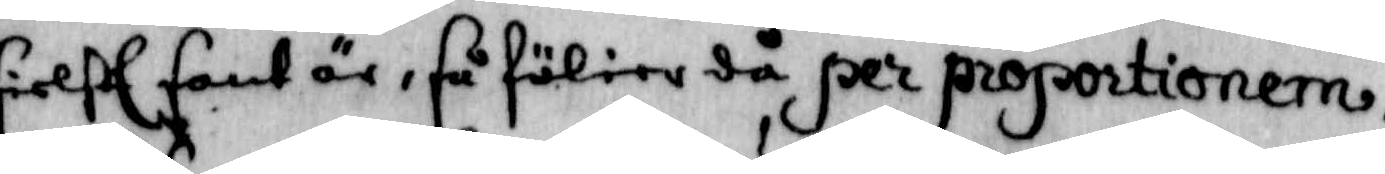sielff sant är, så fölier då per proportionern,
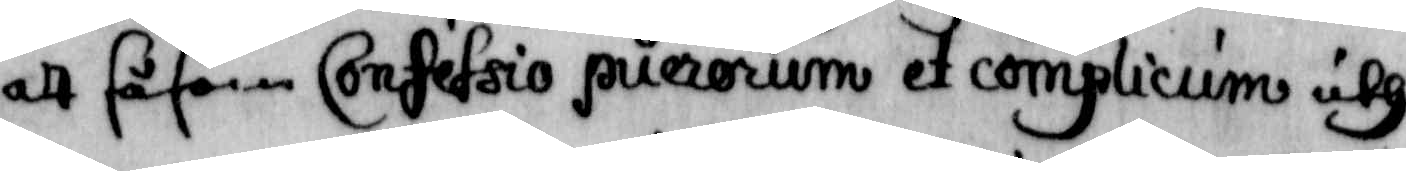att såsom Confessio puerorum et complicium uth¬
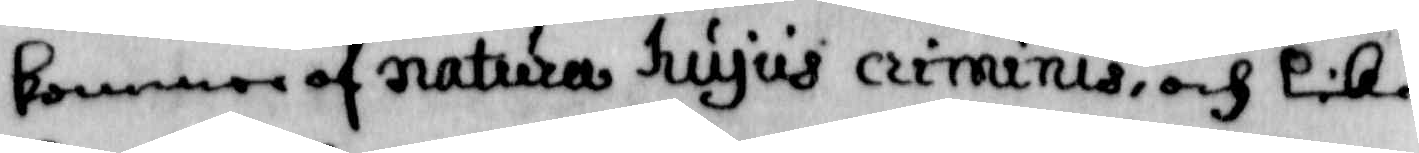kommer af natura hujus criminis, och lika
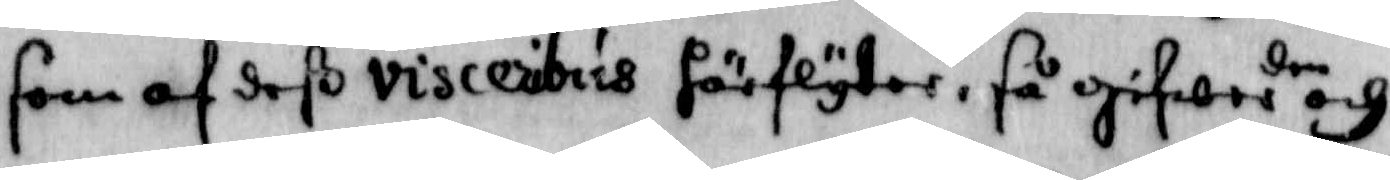som af deß visceribus förflyter, så gifwer den och
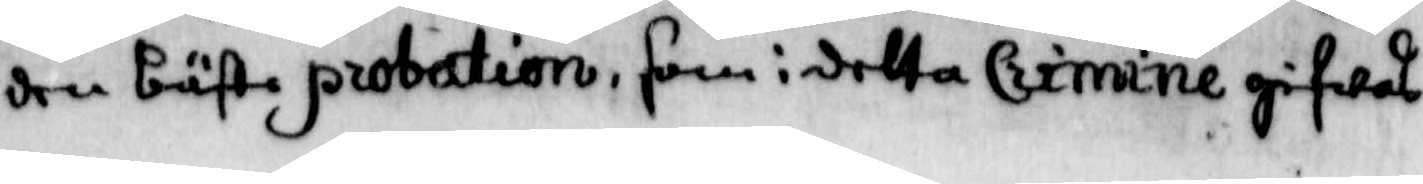den bäste probation, som i detta Crimine gifwas
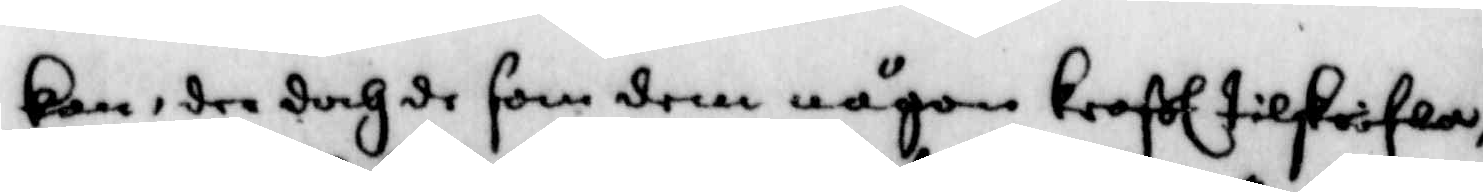kan, dra doch de som dem någon kraßl tilskrifwa,
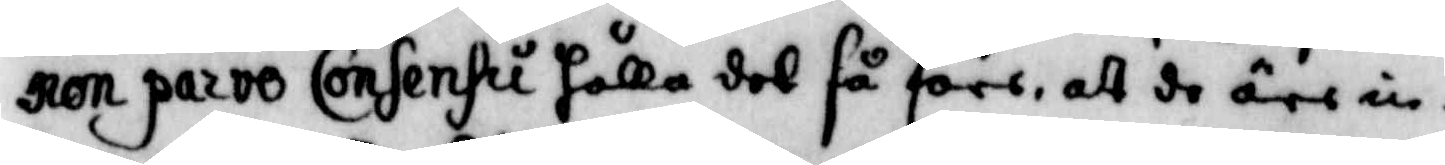ron parvo Consensu hålla det så före, att de äre in¬
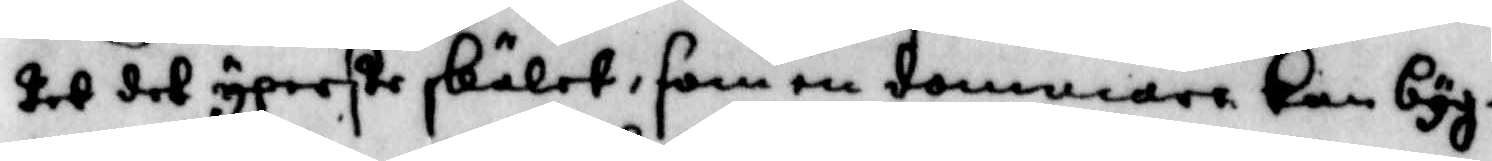tet det yperste skälet, som en dommane kan byg¬
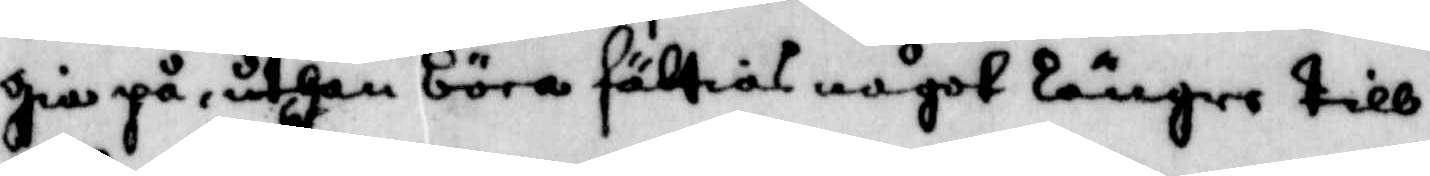gia på, uthan böra sättias något längre till¬
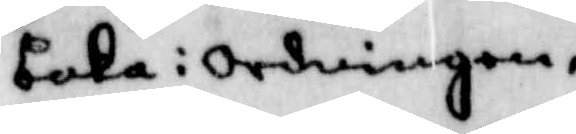baka i ordningen,
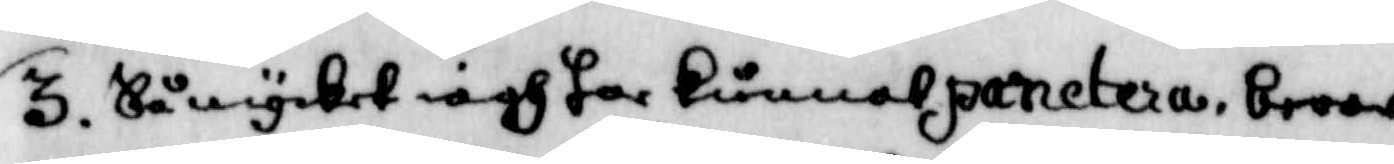3. Så mycket iagh har kunnat panetera, beror
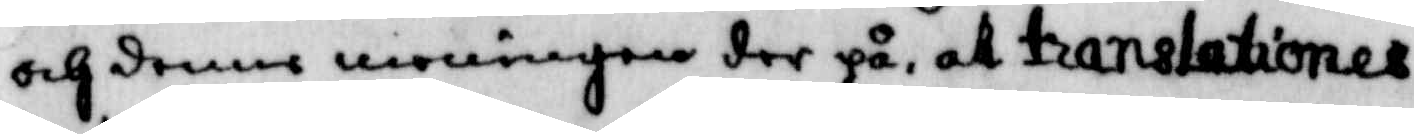och denne meningen der på, at translationer
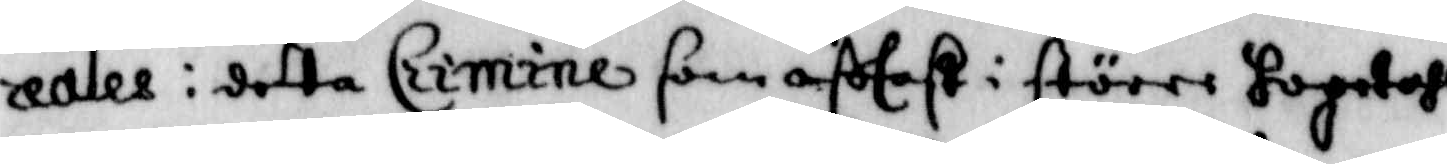realis i detta Crimine som oftast i större hopetahl
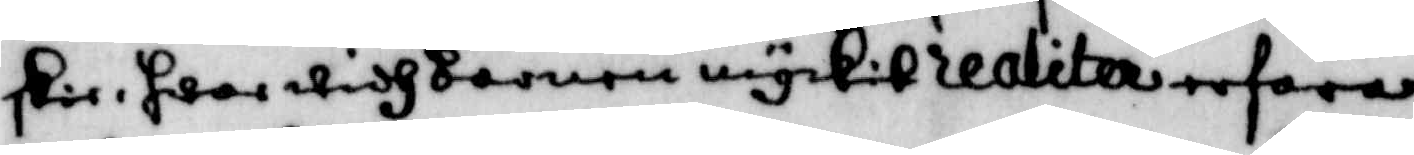skie, hwar widh Barnen myckit realitera erfara
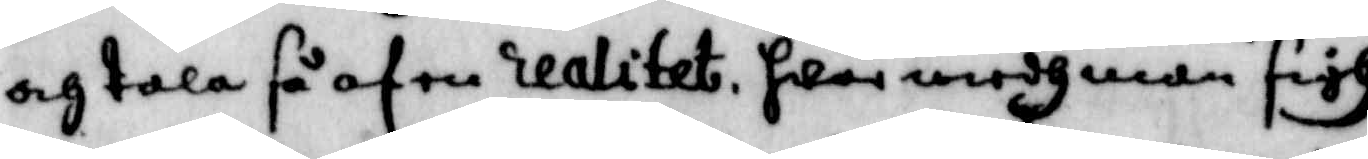och tala så af en realitet, hwar medh man sigh
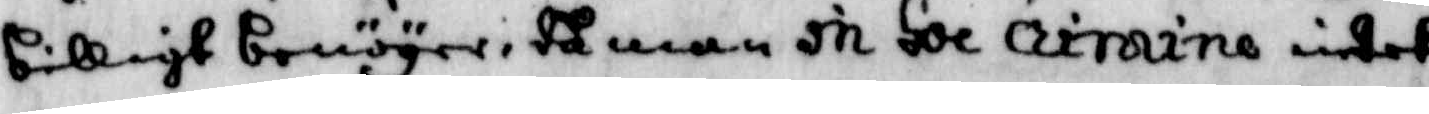billigt benöyer, tå man in Hoc crimine intet
